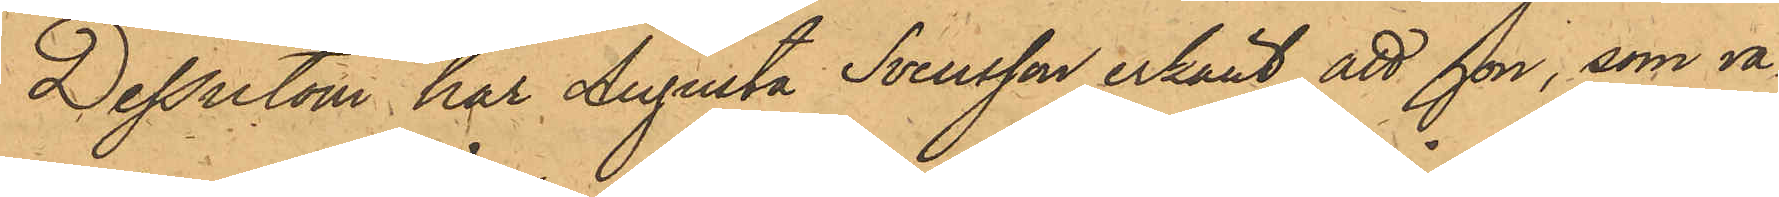Dessutom har Augusta Svensson erkänt, att hon, som va¬
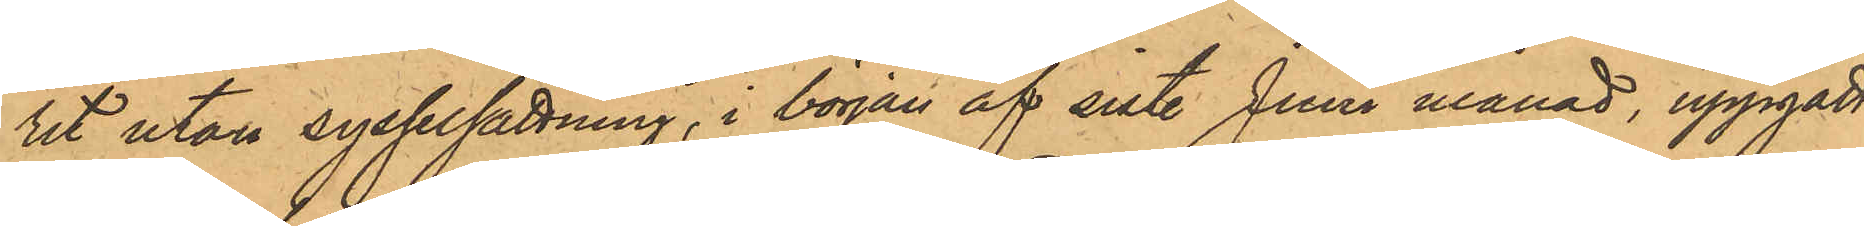rit utan sysselsättning, i början af sist. Juni månad, uppgått
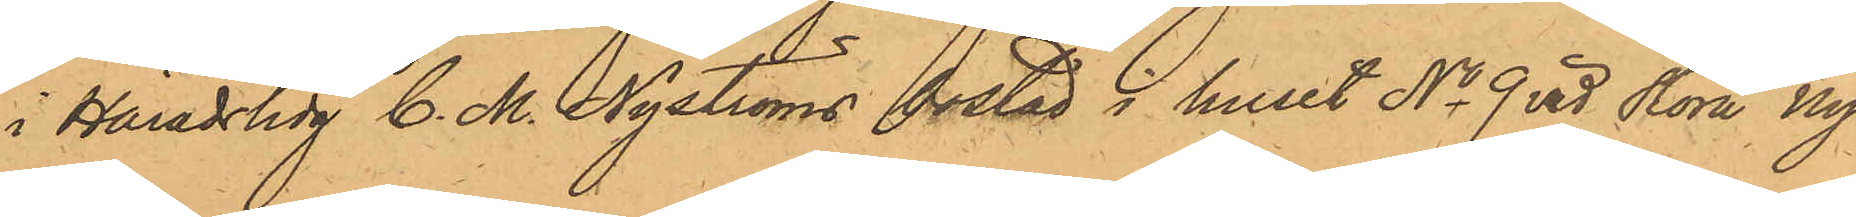i Häradshdg C. M. Nyströms bostad i huset No 9 vid Stora Ny¬
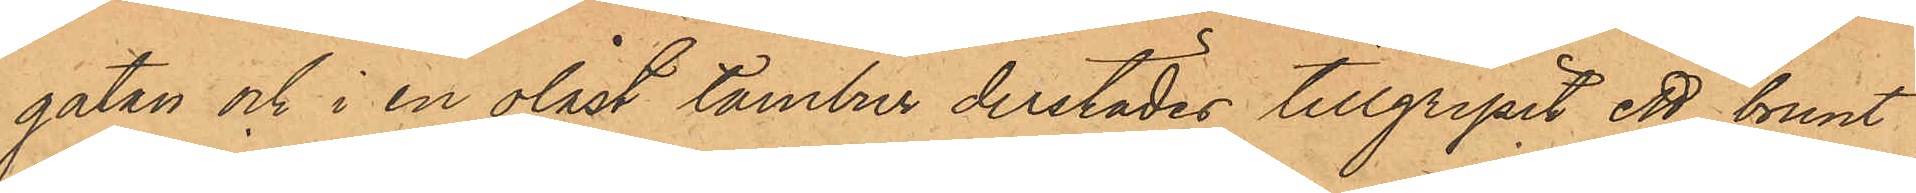gatan och i en olåst tambur derstädes tillgripit ett brunt
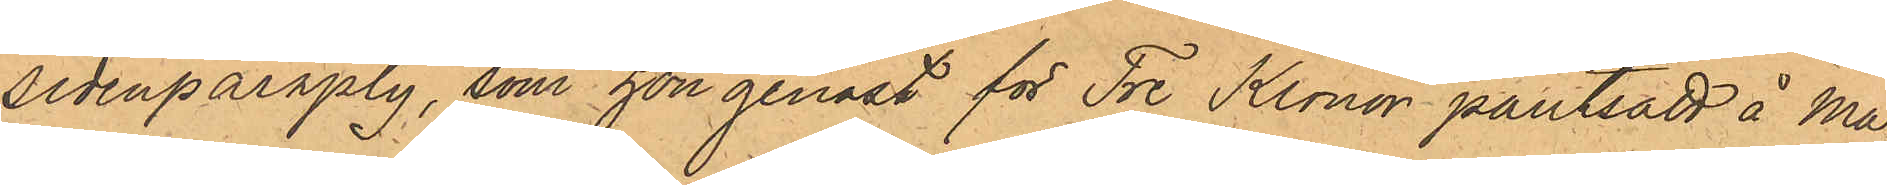sidenparaply, som hon genast för Tre Kronor pantsatt å Ma¬
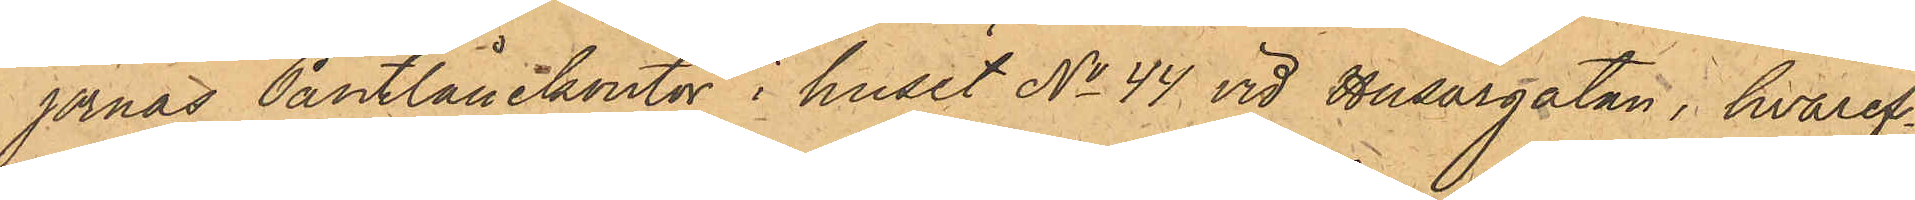jornas Pantlånekontor i huset No 44 vid Husargatan, hvaref¬
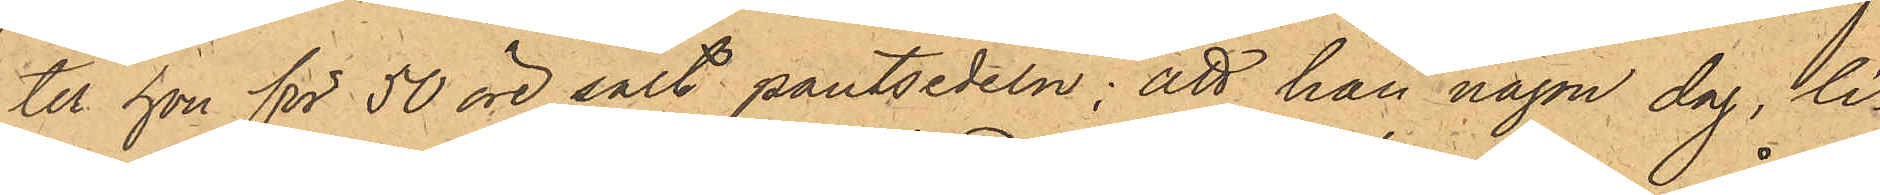ter hon för 50 öre sålt pantsedeln; att hon någon dag, li¬
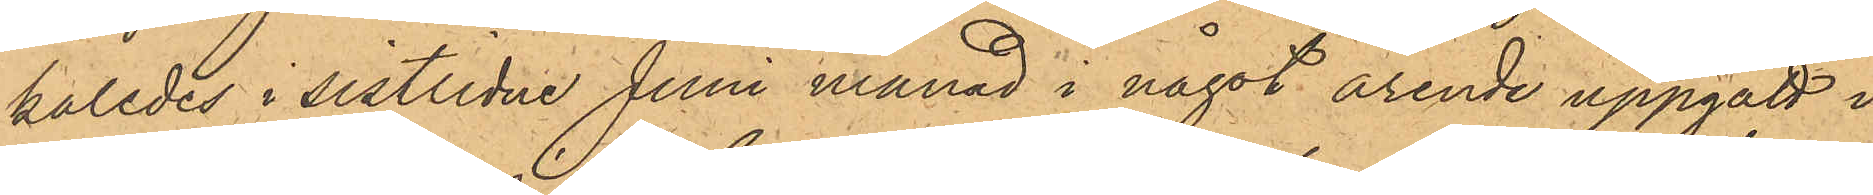kaledes i sistlidne Juni månad i något ärende uppgått i
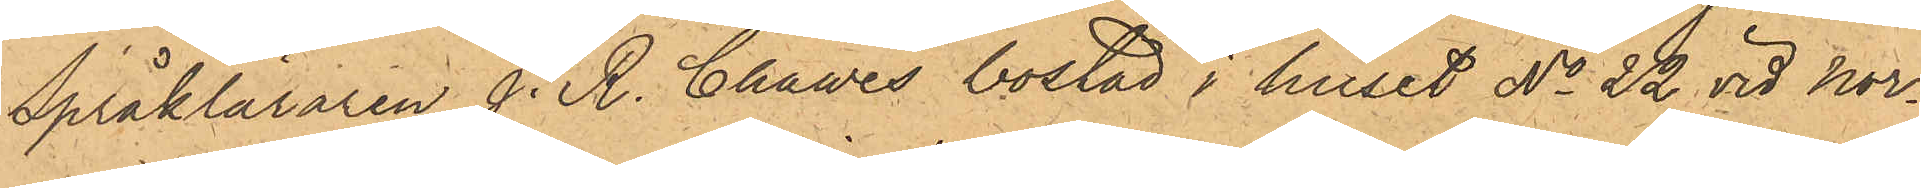Språkläraren J. K. Chawes bostad i huset No 22 vid Nor¬
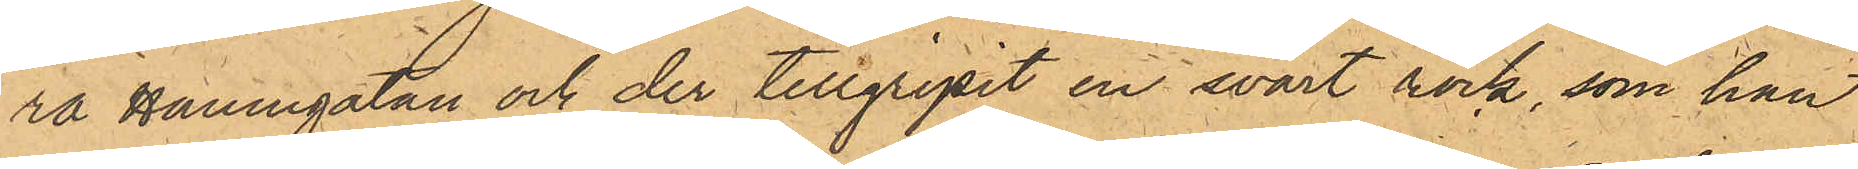ra Hamngatan och der tillgripit en svart rock, som han
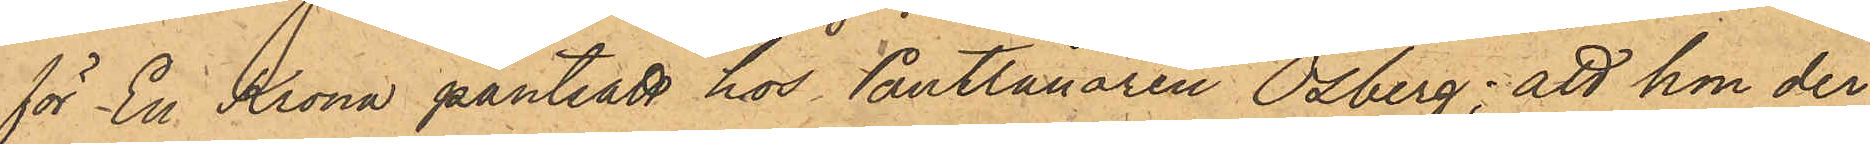för En Krona pantsatt hos Pantlånaren Osberg; att hon der¬
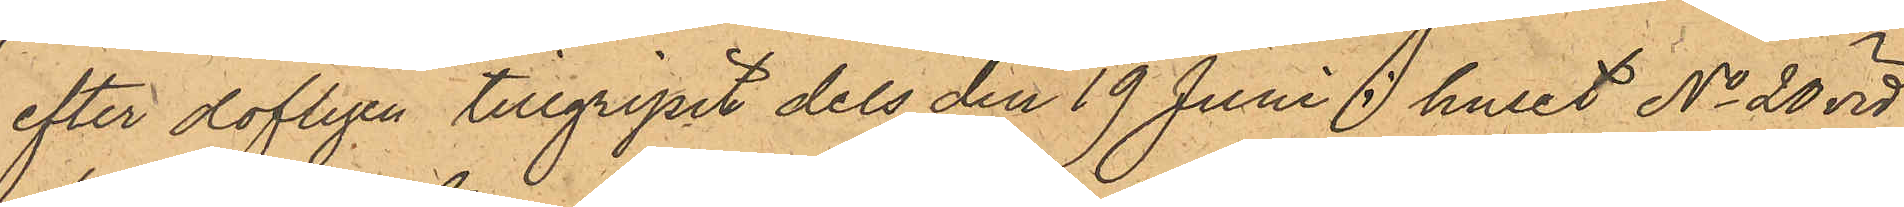efter olofligen tillgripit dels den 19 Juni i huset No 20 vid
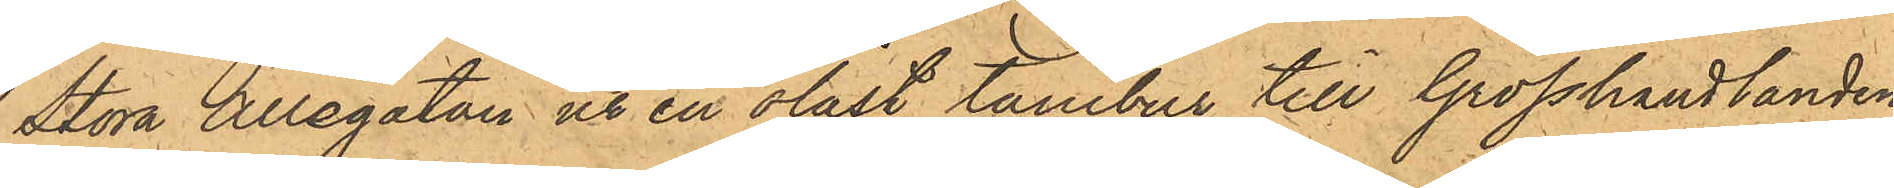Stora Allegatan ut en olåst tambur till Grosshandlanden
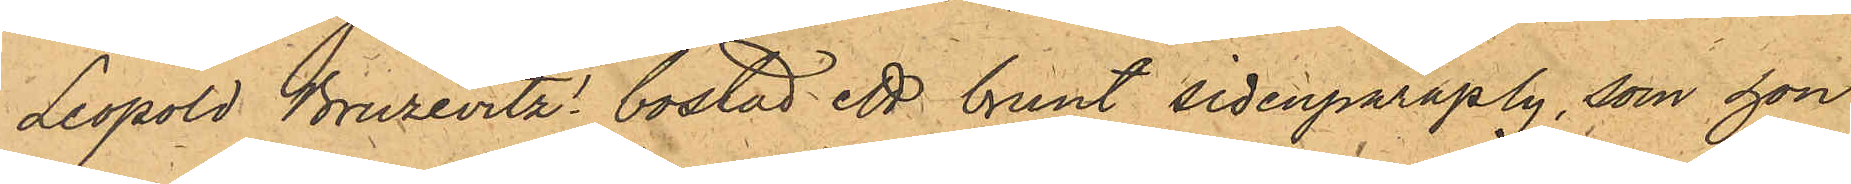Leopold Bruzevitz' bostad ett brunt sidenparaply, som hon
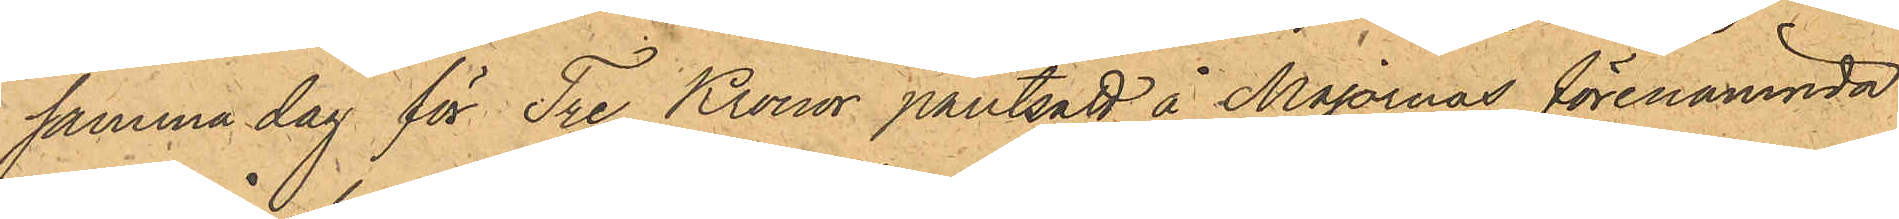samma dag för Tre Kronor pantsatt å Majornas förenämnda
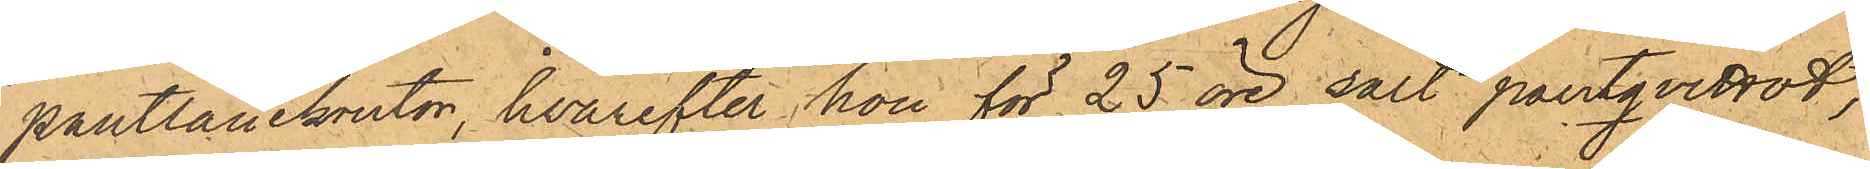pantlånekontor, hvarefter hon för 25 öre sålt pantqvittot,
